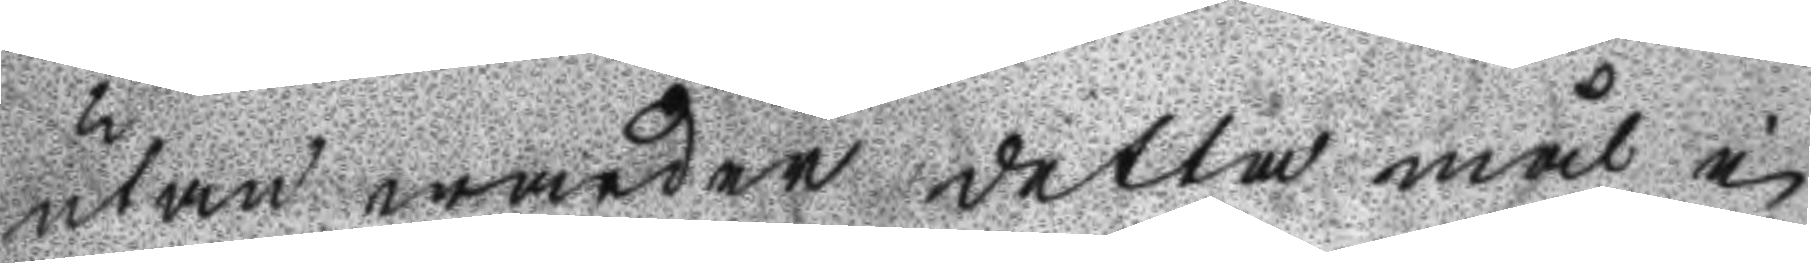utan warder detta mål i
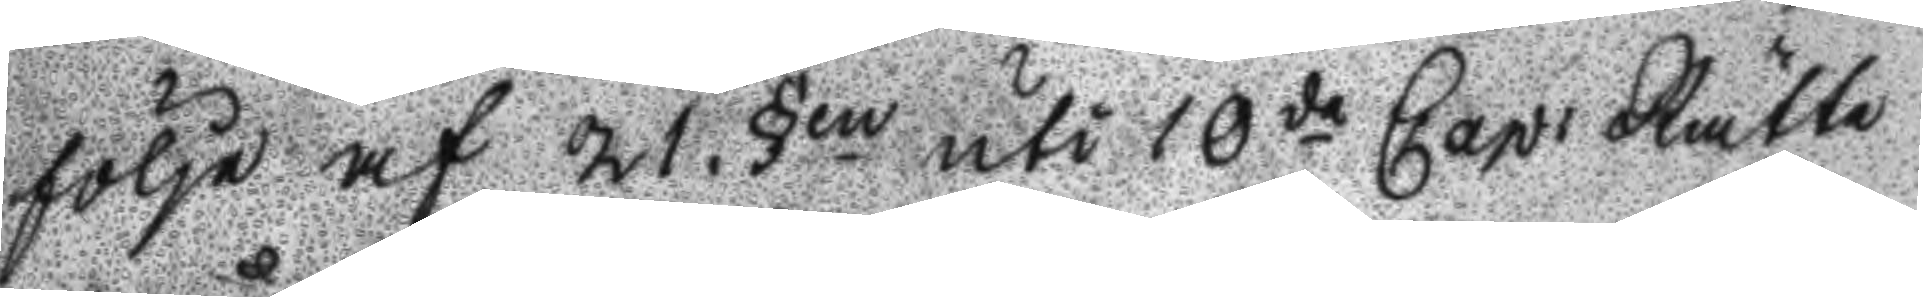följe af 21 §en uti 10de Cap: Rätte
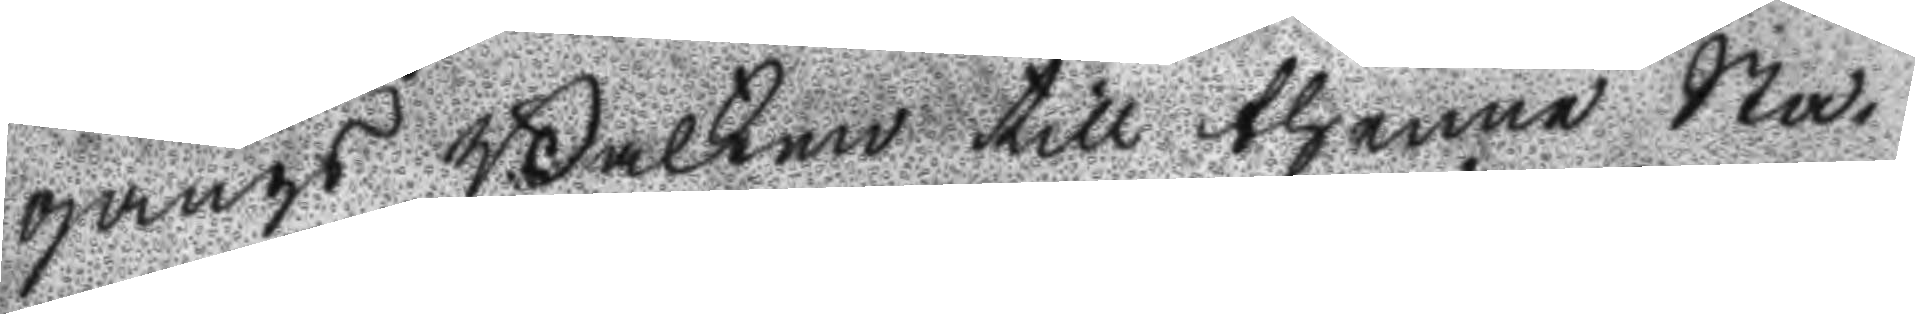gångs Balken till thenne Sta¬
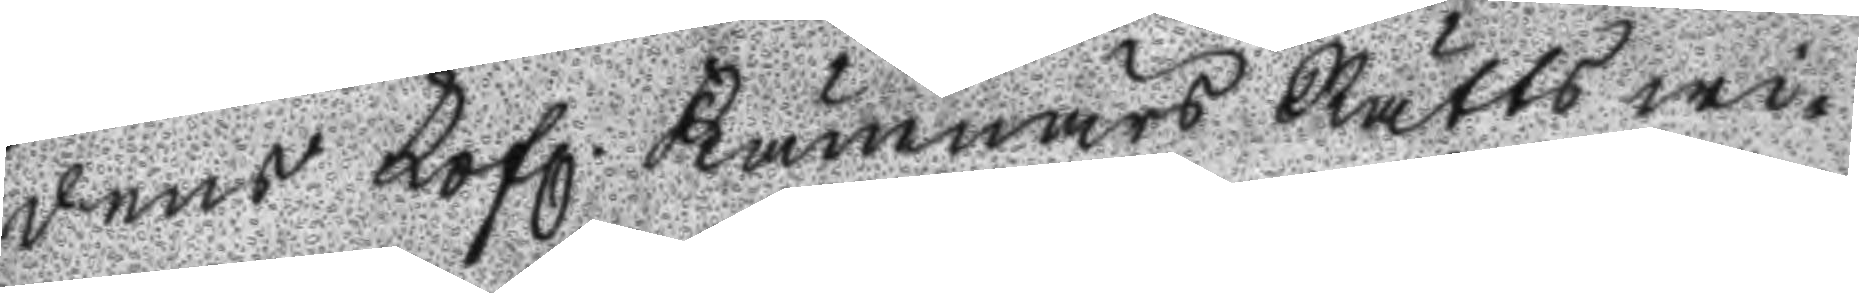dens Lofl. Kämnärs Rätts wi¬
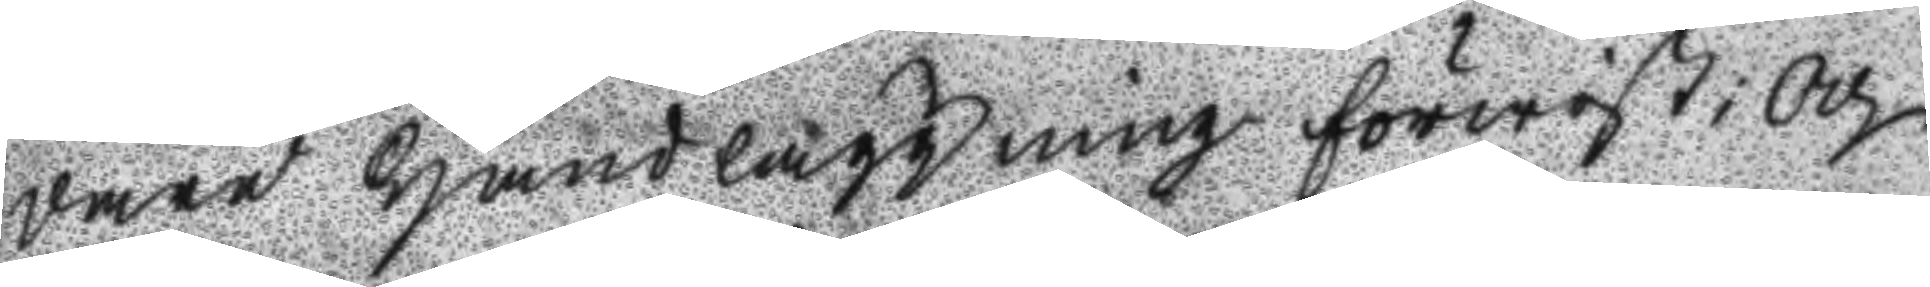dare handläggning förwist; och
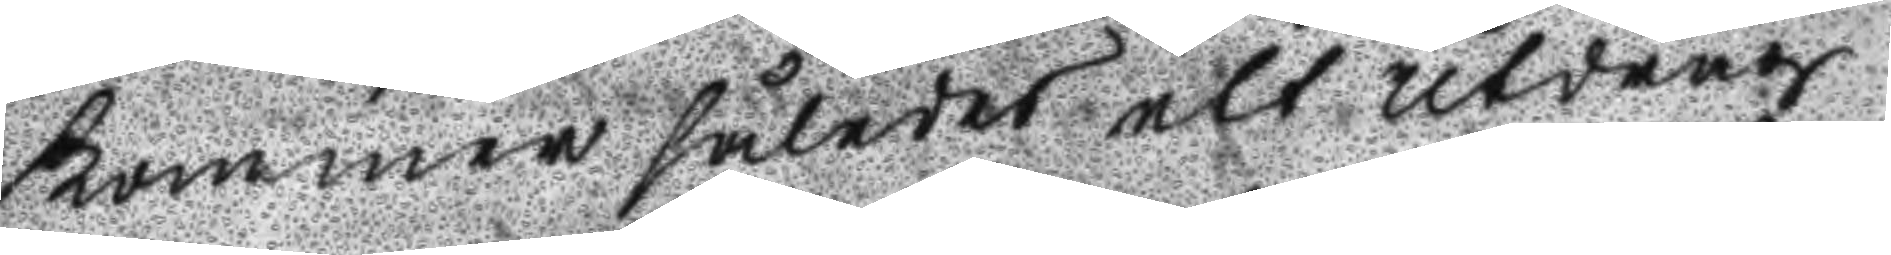kommer således ett utdrag
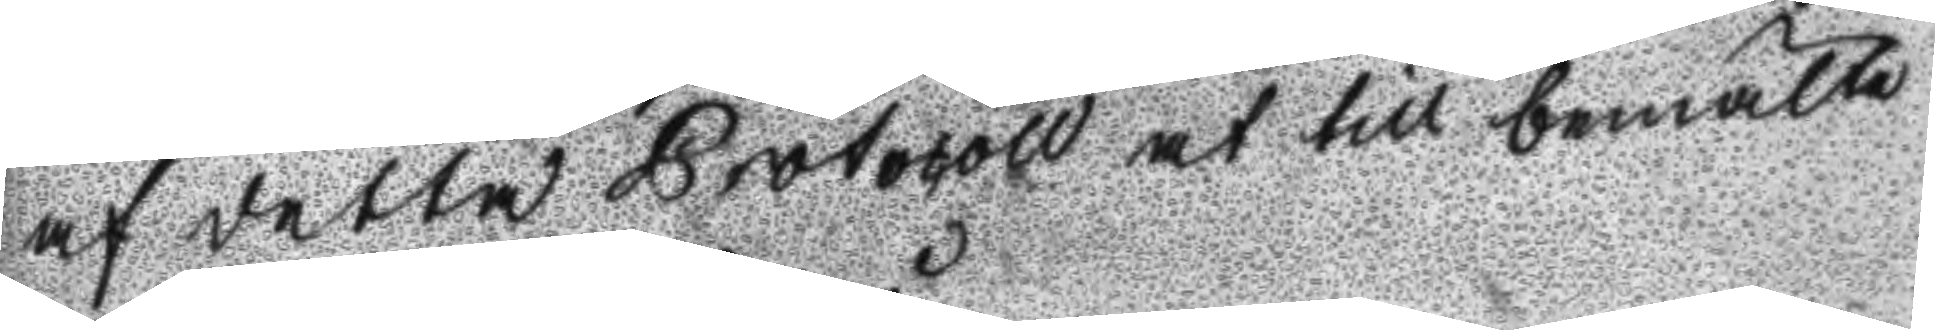af detta Protocoll at till bemälte
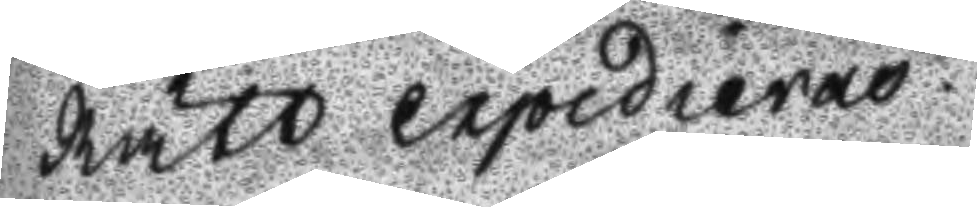Rätt expedieras.
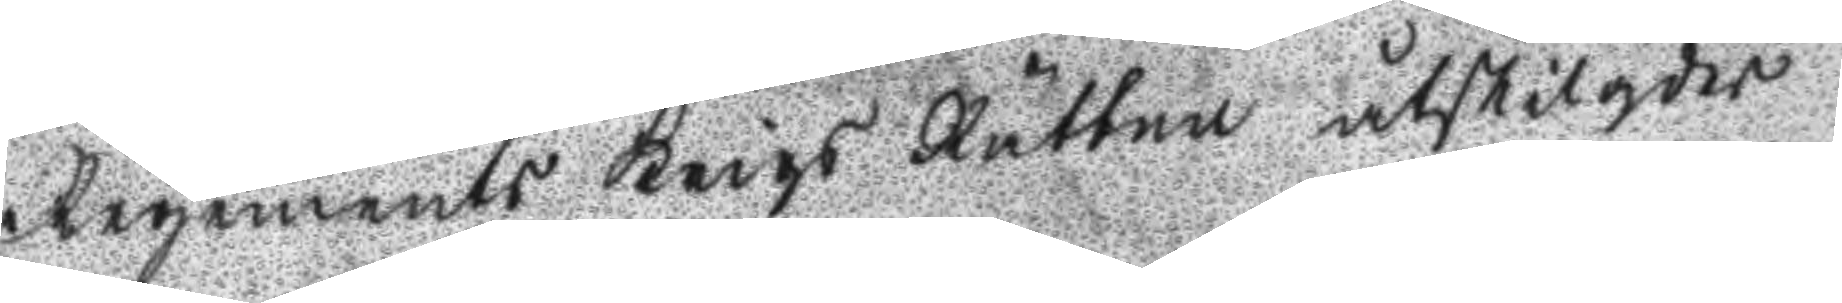regements Krigs Rätten åtskilgdes
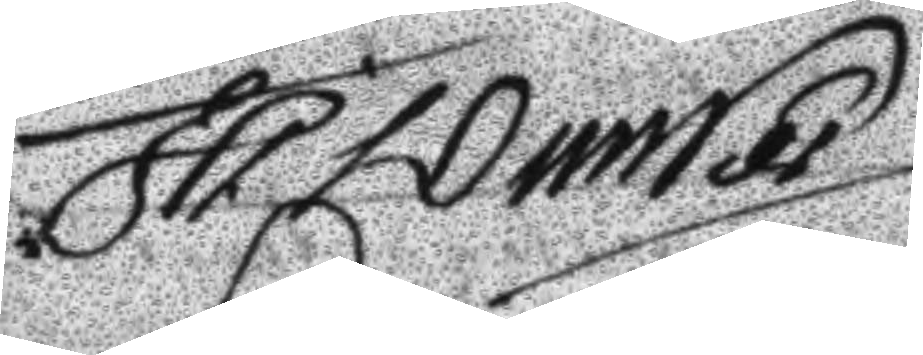JH Dunker
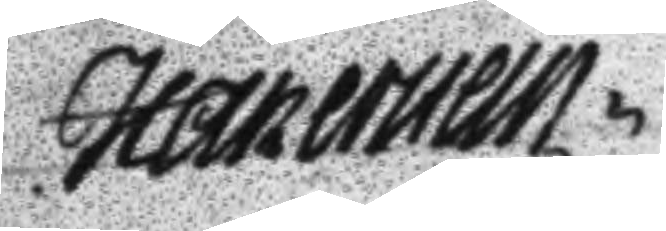H åkerstein
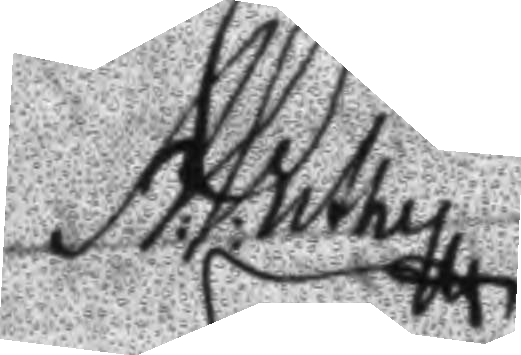A: P: uthy
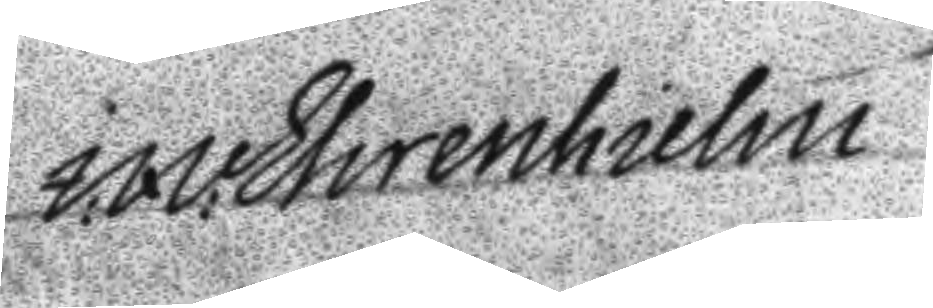M: Ehrenhielm
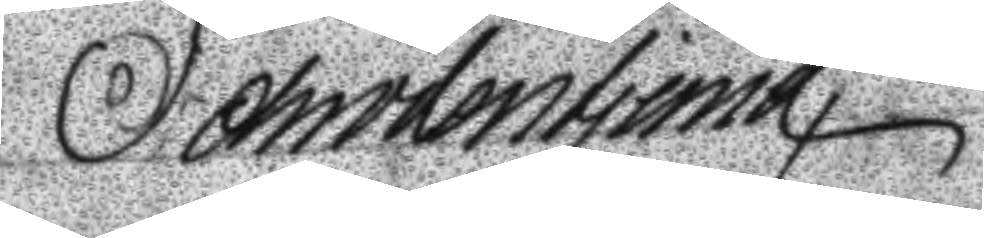Schröderstierna
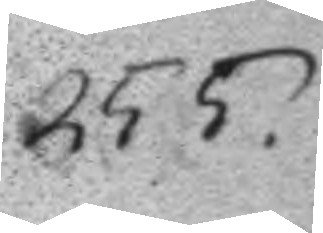255.
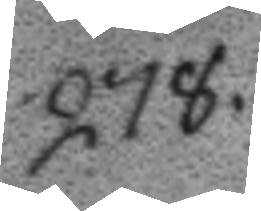278.
